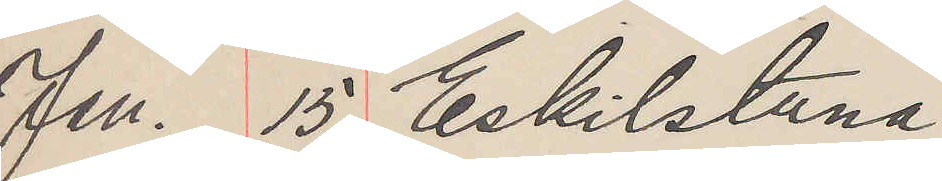Jan. 15. Eskilstuna
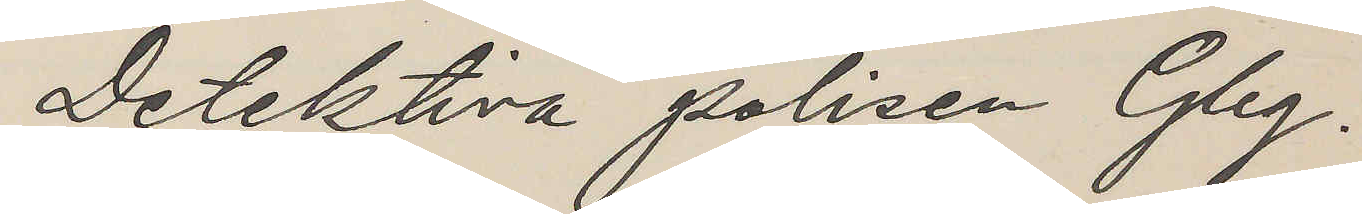Detektiva polisen Gbg.
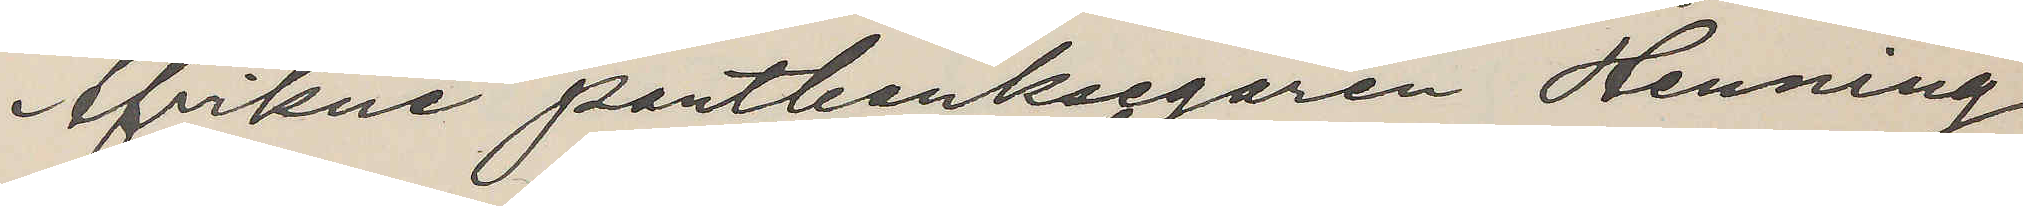Afvikne pantbanksegaren Henning
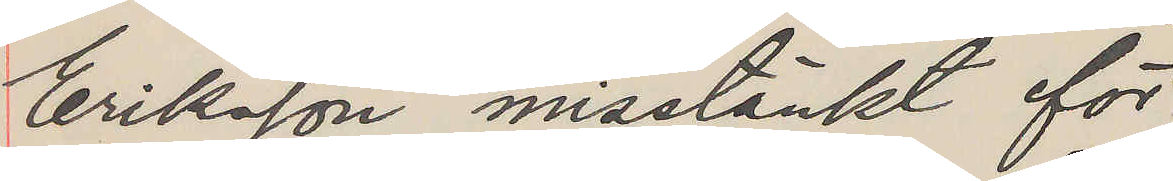Eriksson misstänkt för
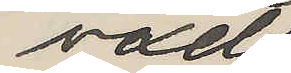vexel¬
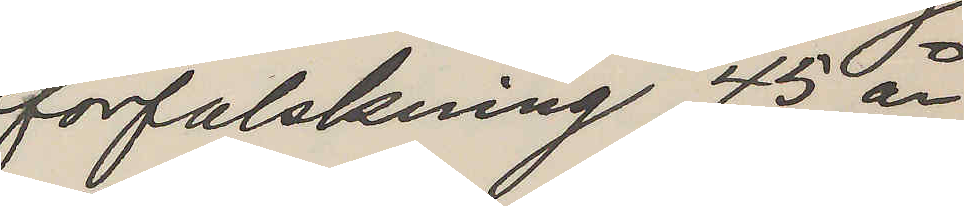förfalskning, 45 år
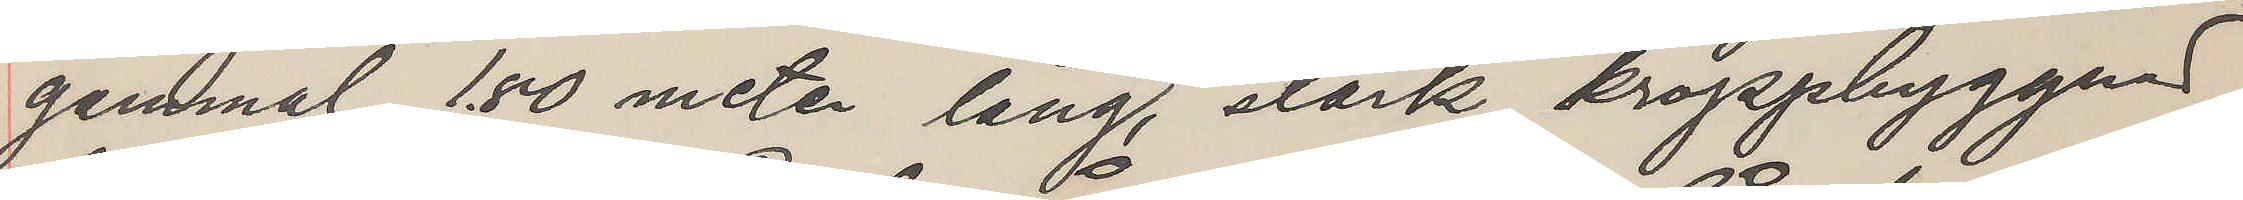gammal, 1. 80 meter lång, stark kroppbyggnad,
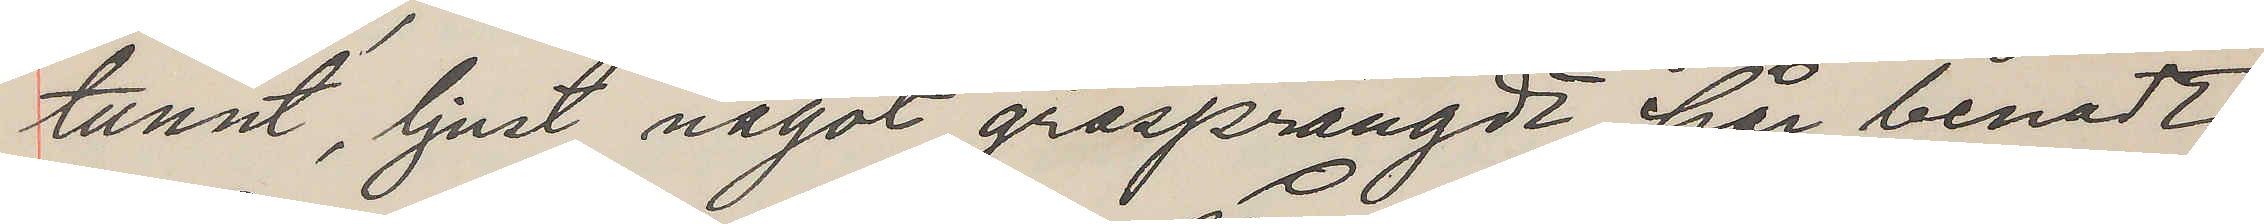tunnt, ljust något gråsprängdt hår, benadt
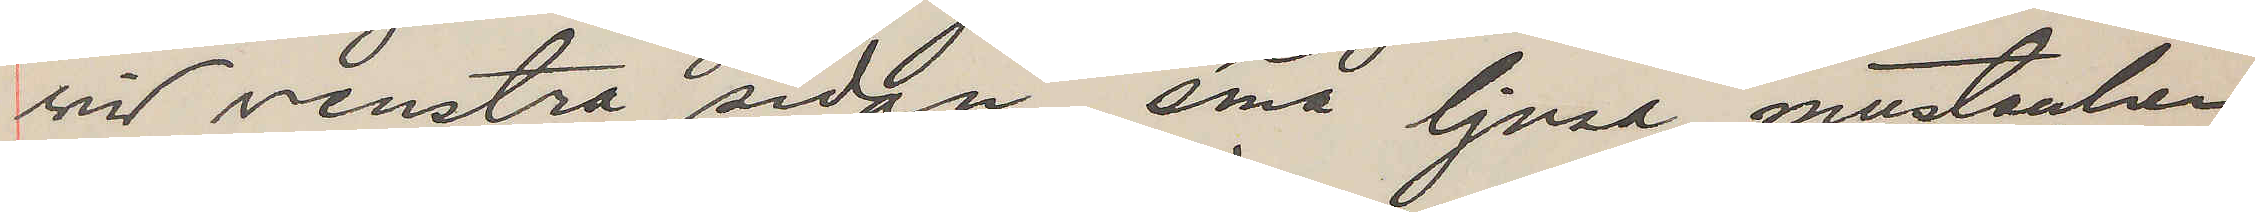vid venstra sidan, små ljusa mustacher
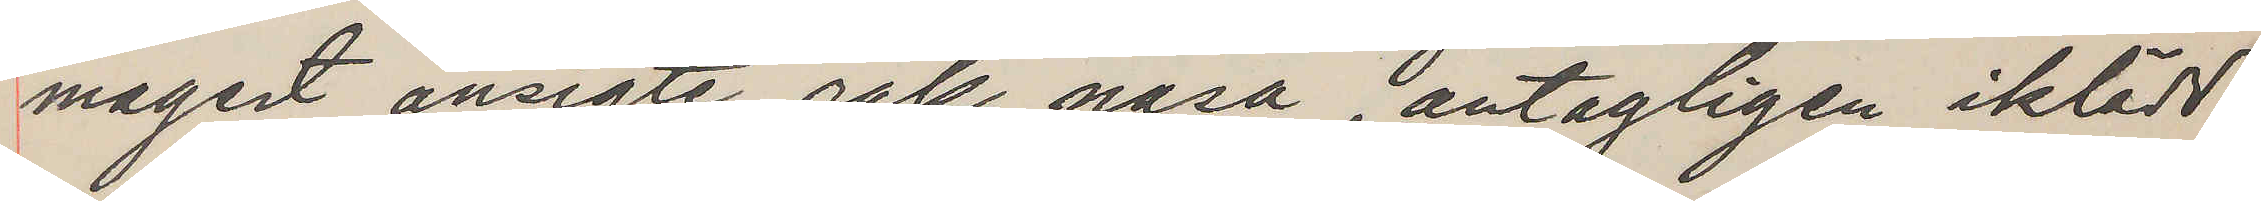magert ansigte, rak näsa, antagligen iklädd
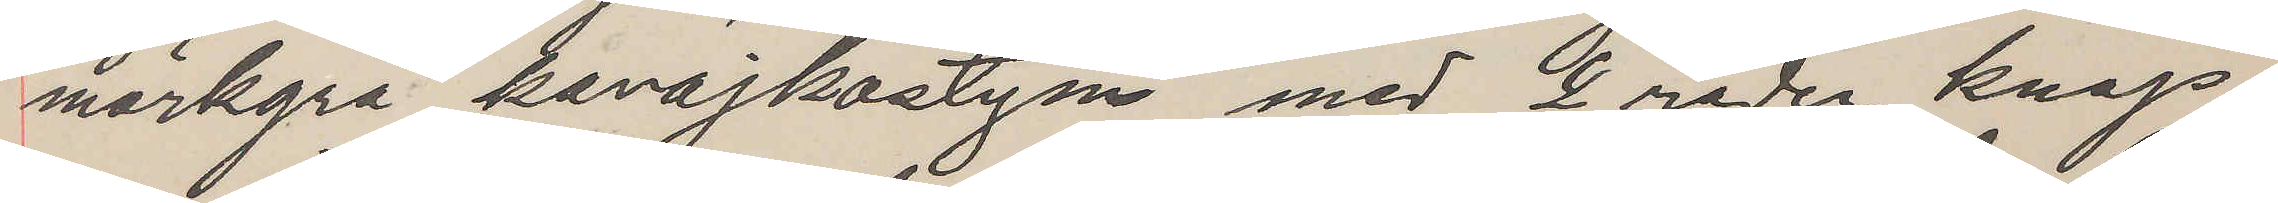mörkgrå kavajkostym med 2 rader knap¬
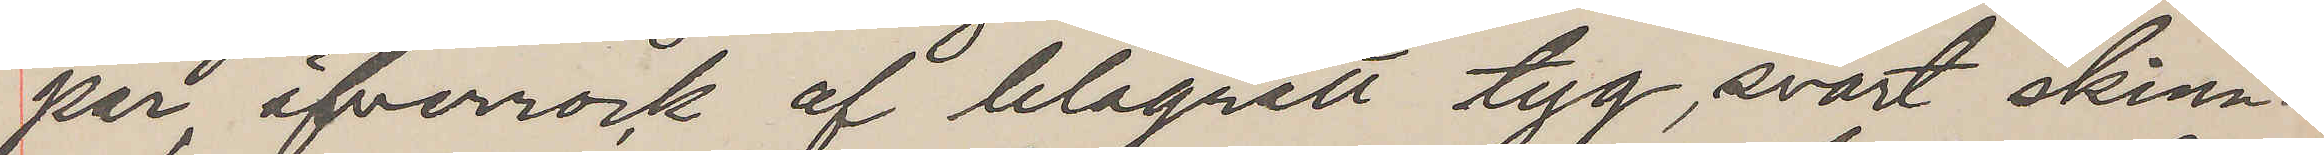par, öfverrock af blågrått tyg, svart skinn¬
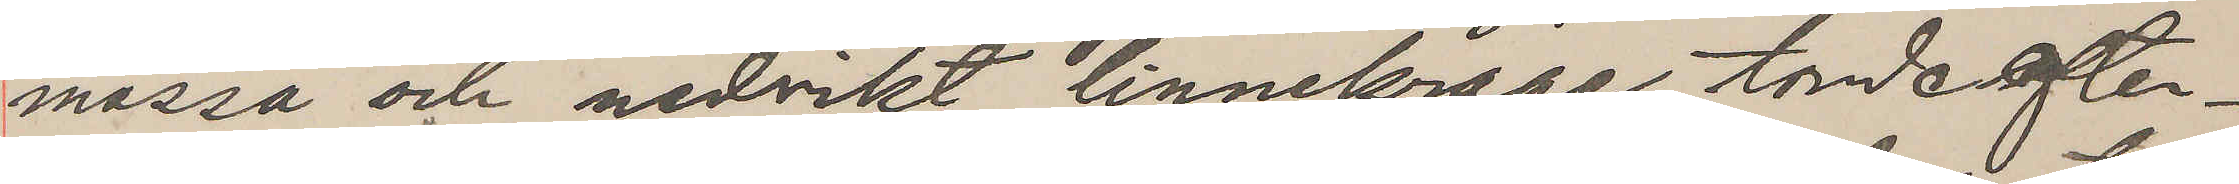mössa och nedvikt linnekrage, torde efter¬
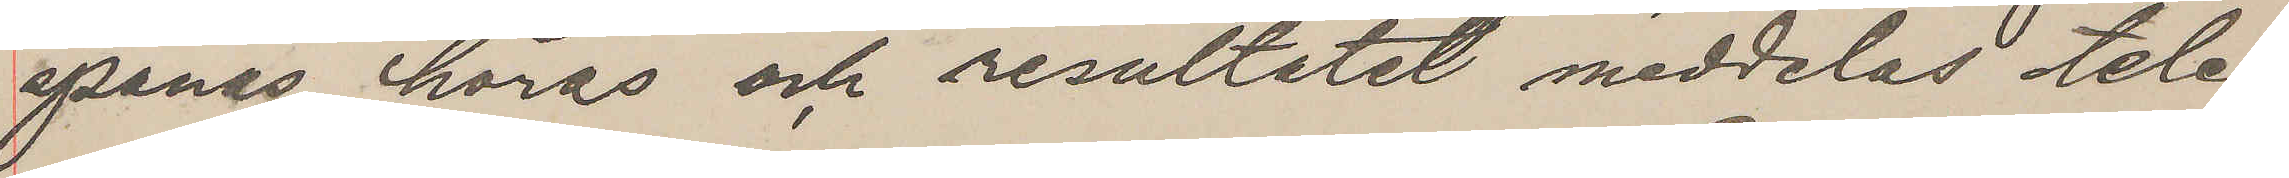spanas, höras och resultatet meddelas tele¬
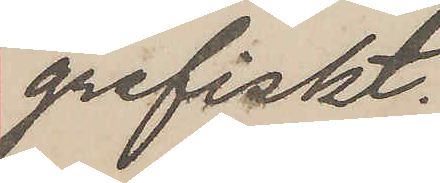grafiskt.
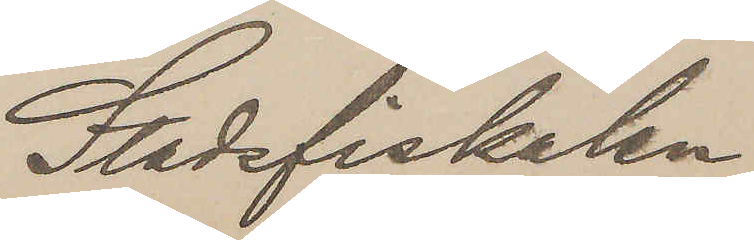Stadsfiskalen
